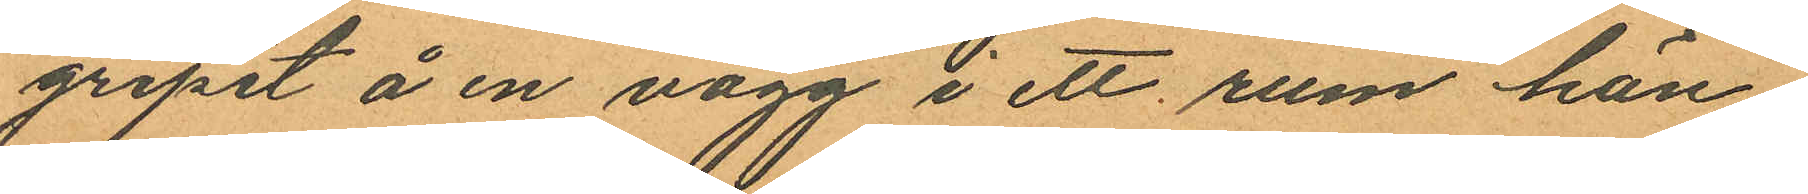gripit å en vägg i ett rum hän¬
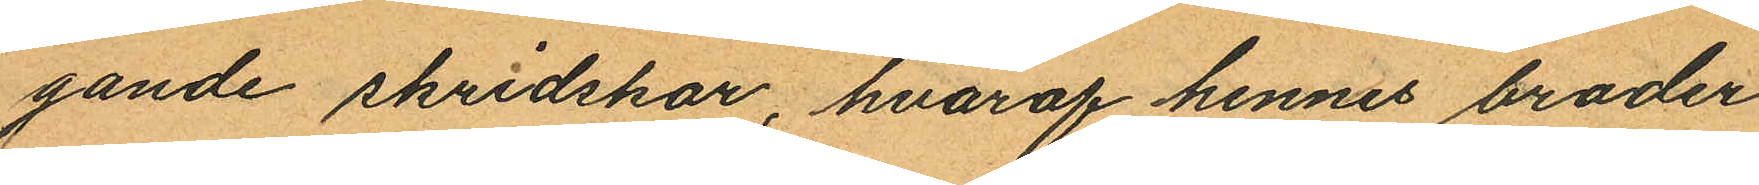gande skridskor, hvaraf hennes broder
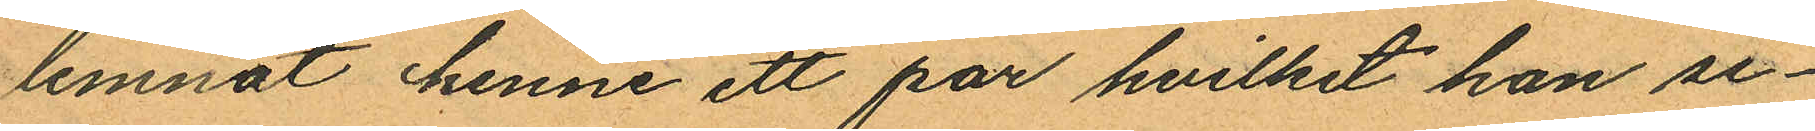lemnat henne ett par hvilket hon se¬
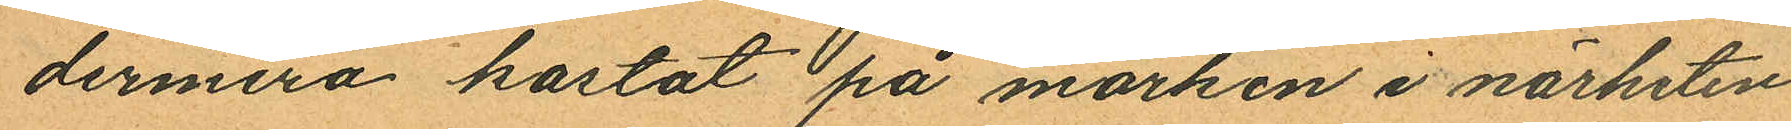dermera kastat på marken i närheten
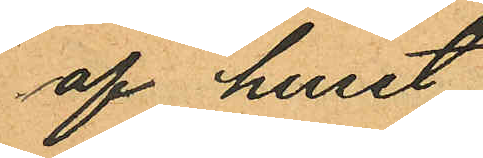af huset.
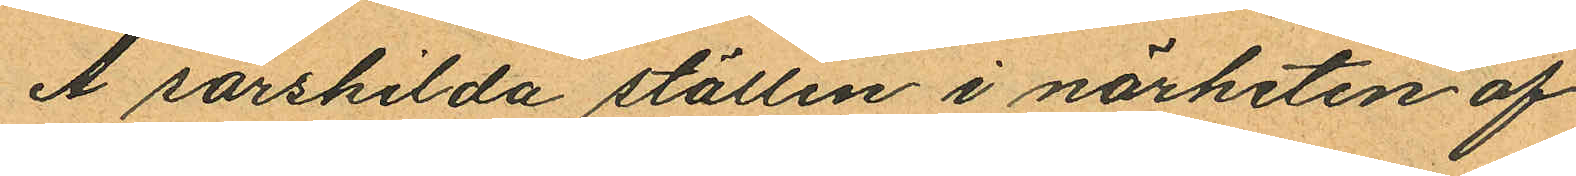Å särskilda ställen i närheten af
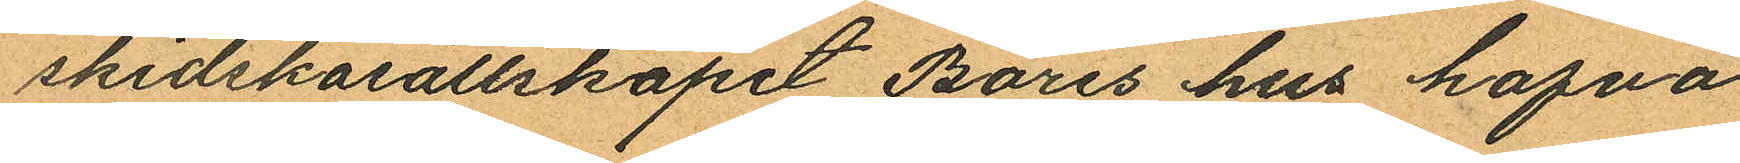skidskosällskapet Bores hus hafva
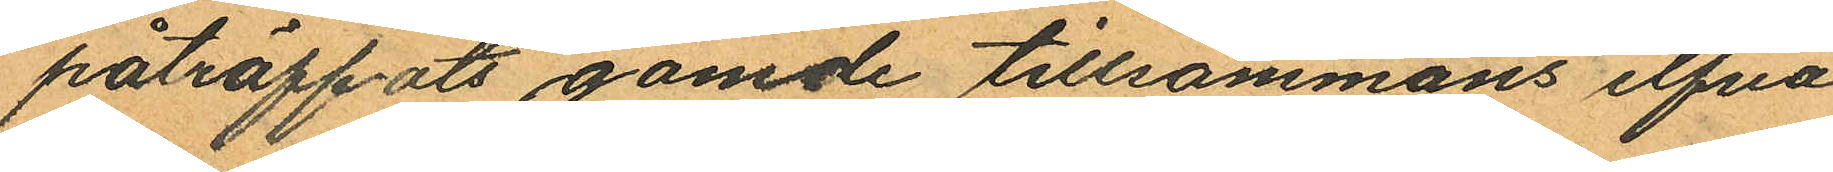påträffats gömde tillsammans elfva
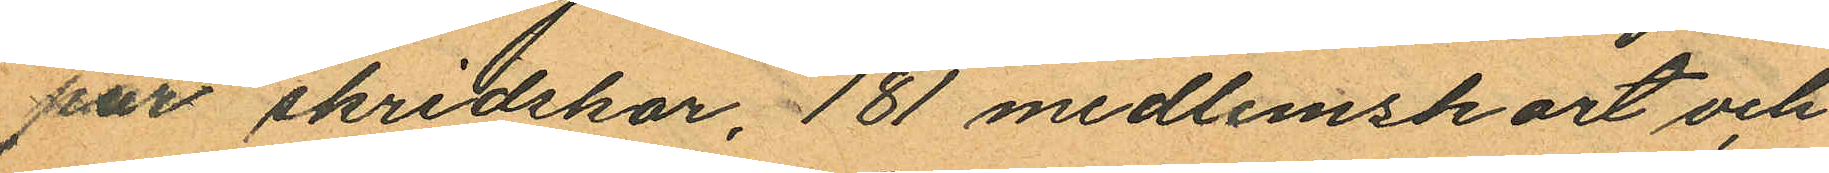par skridskor, 181 medlemskort och
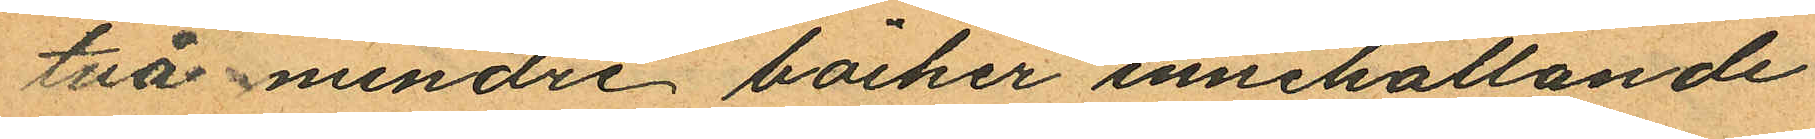två mindre böcker innehållande
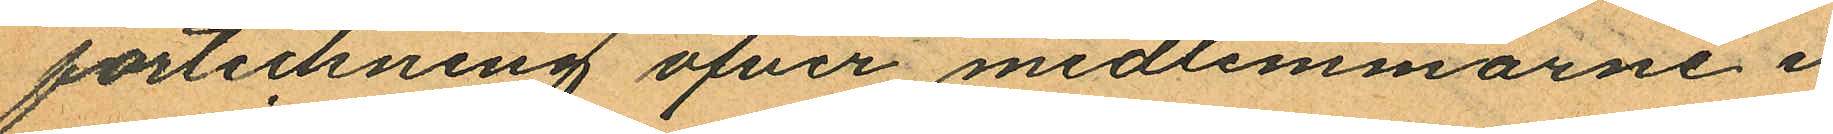förteckning öfver medlemmarne i
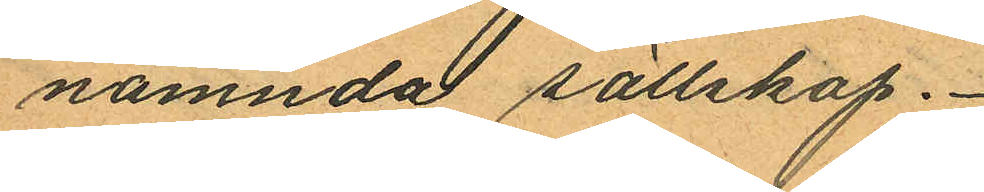nämnda sällskap.
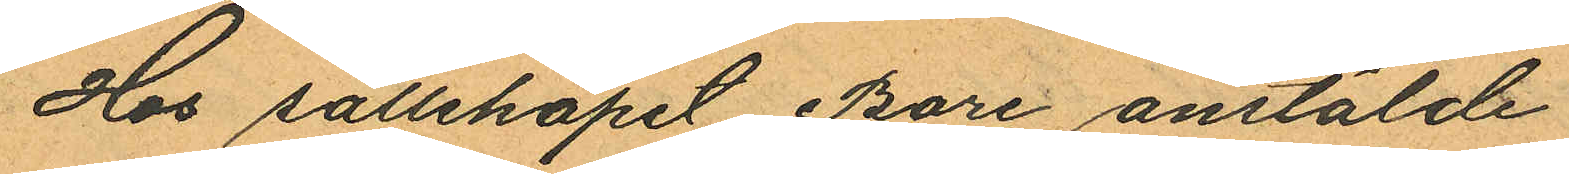Hos sällskapet Bore anstälde
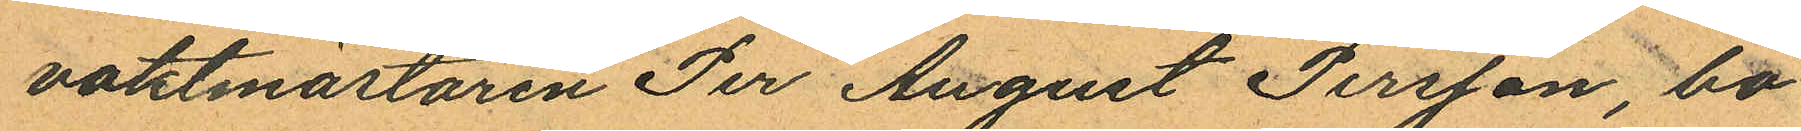vaktmästaren Per August Persson, bo¬
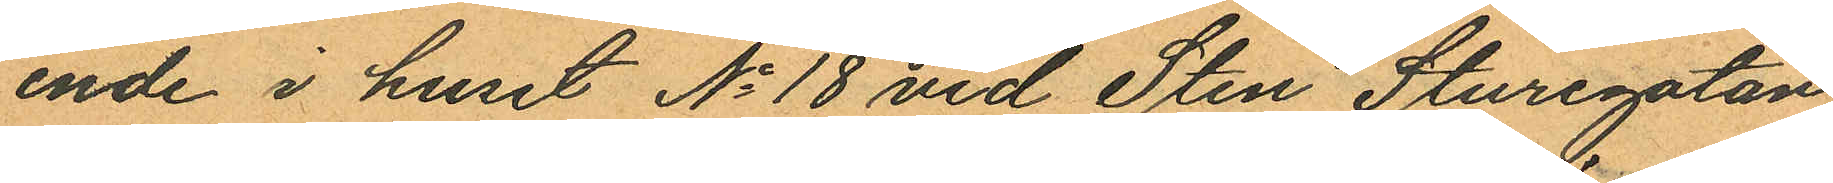ende i huset No 18 vid Sten Sturegatan,
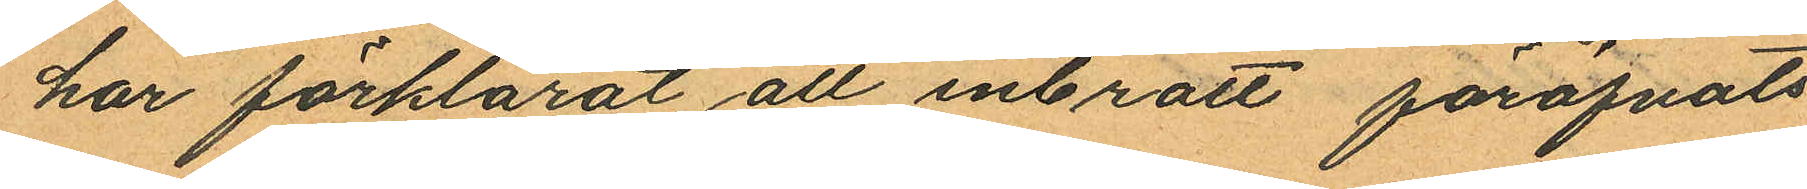har förklarat att inbrott föröfvats
